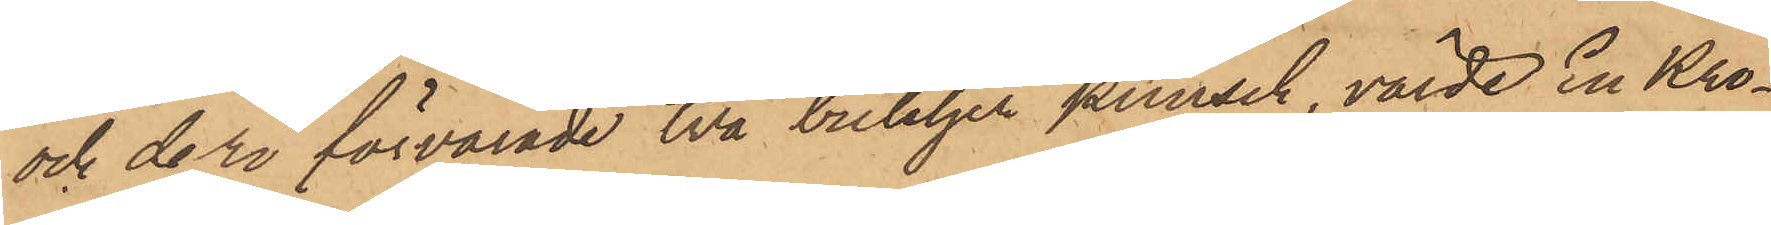och deri förvarade två buteljer punsch, värde En Kro¬
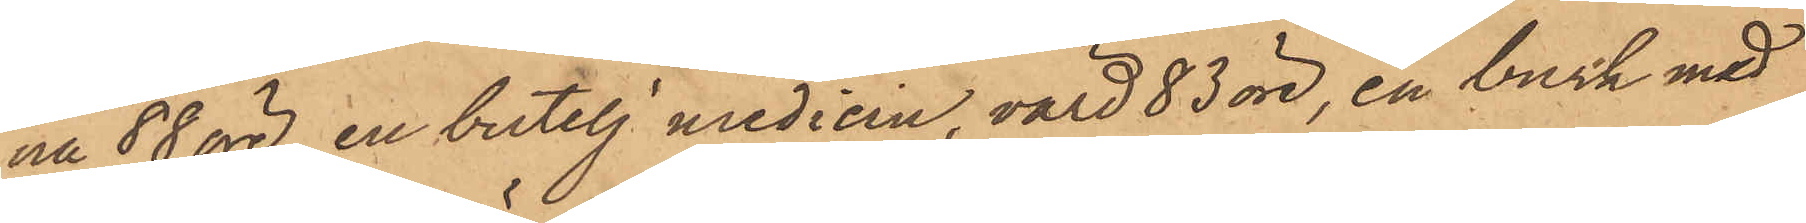na 88 öre, en butelj medicin, värd 83 öre, en burk med
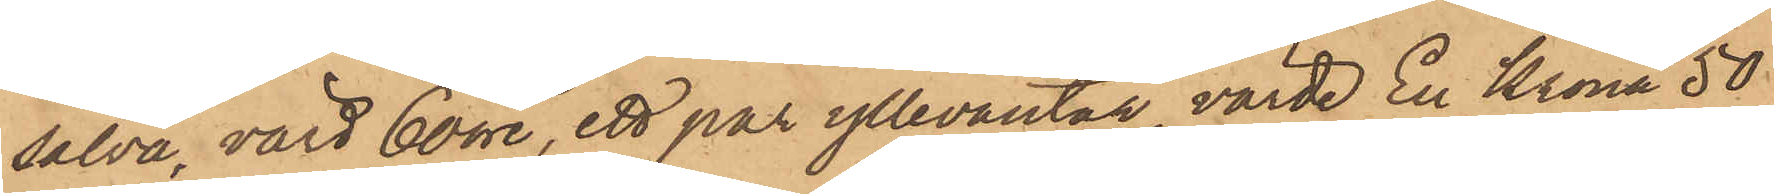salva, värd 60 öre, ett par yllevantar, värde En Krona 50
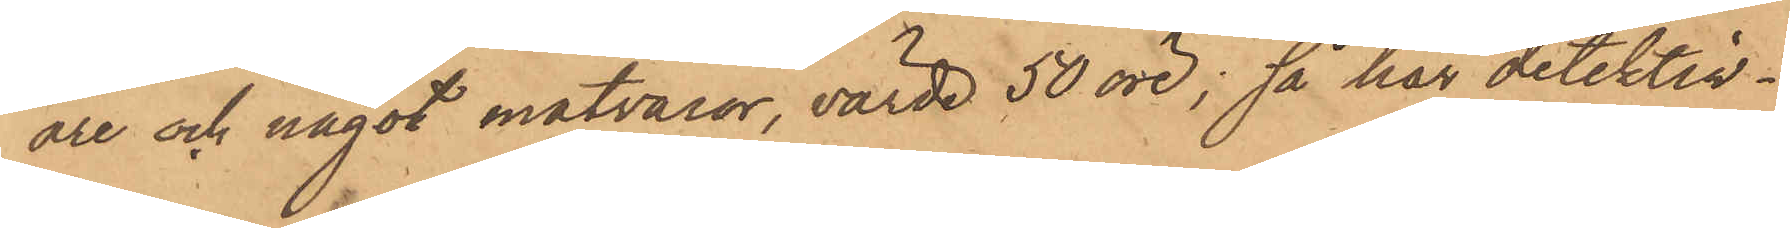öre och något matvaror, värde 50 öre; så har detektiv¬
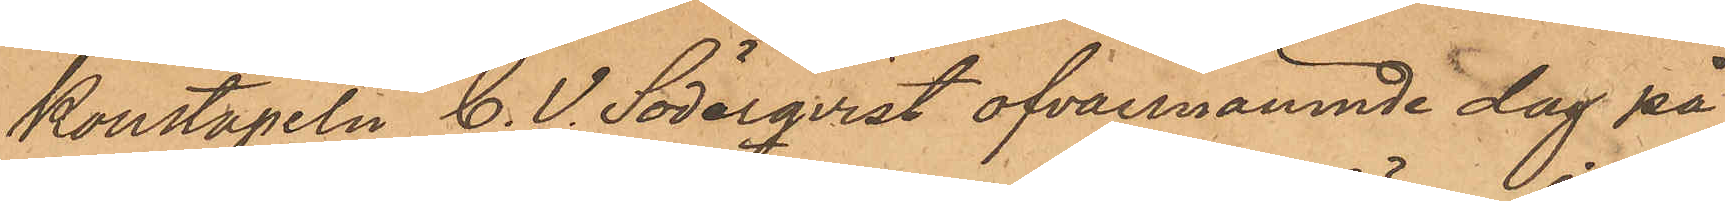konstapeln C. V. Söderqvist ofvannämnde dag på
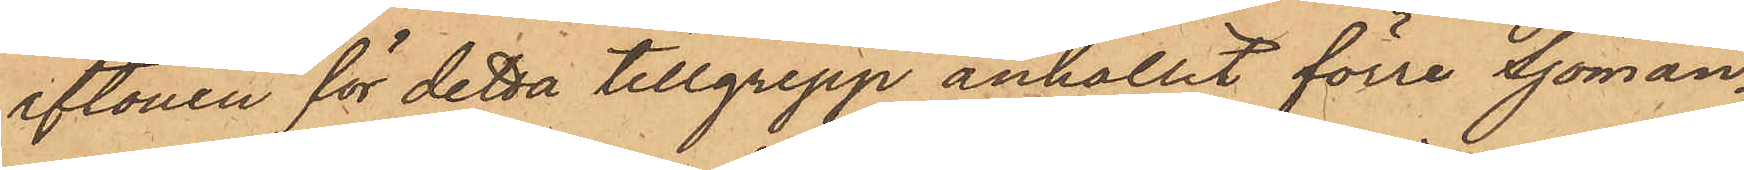aftonen för detta tillgrepp anhållit förre Sjöman¬
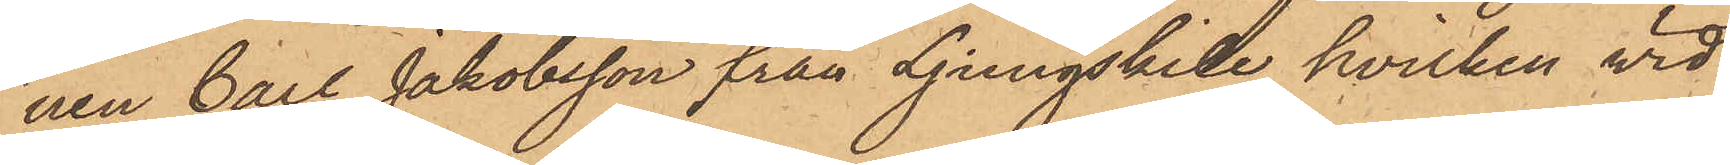nen Carl Jakobsson från Ljungskile, hvilken vid
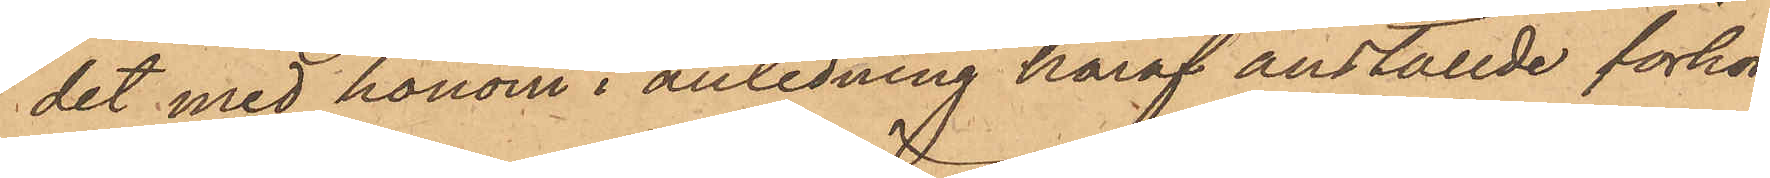det med honom i anledning häraf anställde förhör
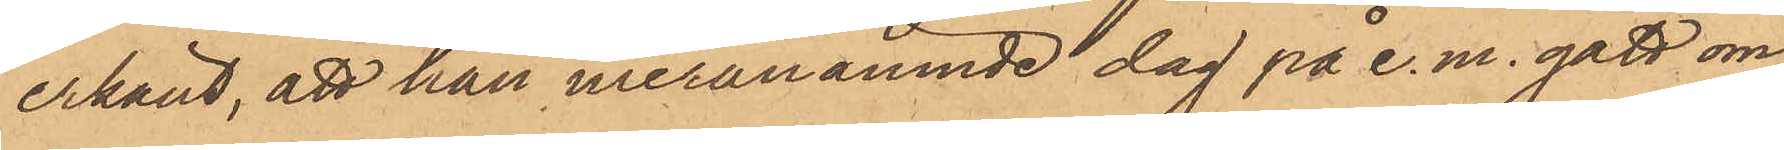erkänt, att han meranämnde dag på e. m. gått om¬
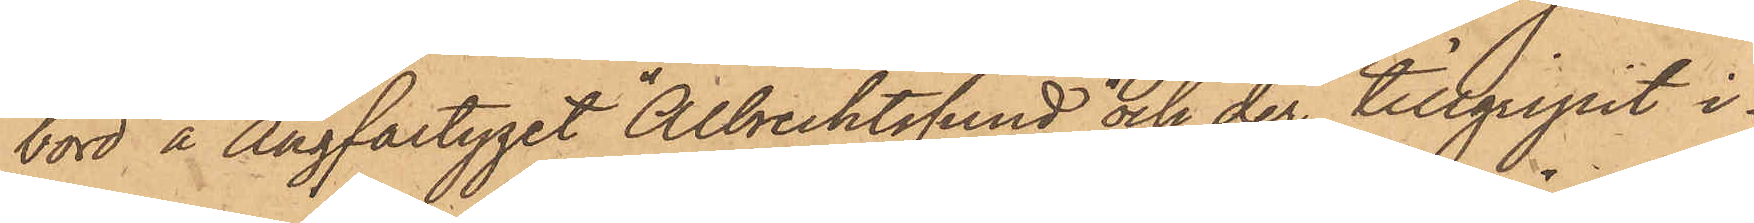bord å Ångfartyget "Albrechtsund och der tillgripit i¬
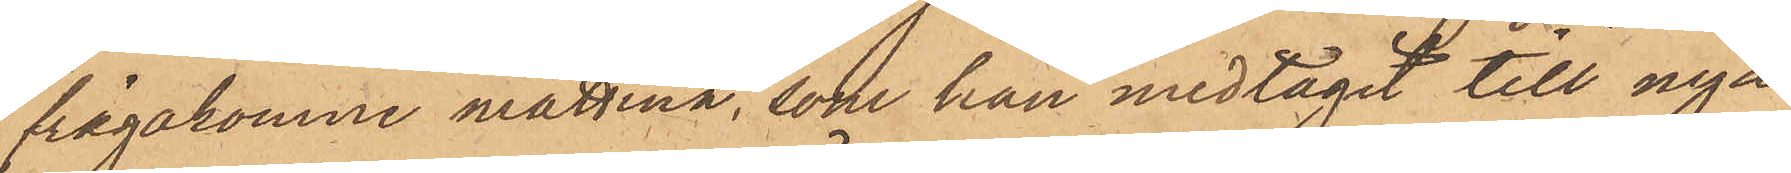frågakomne mattina, som han medtagit till nya
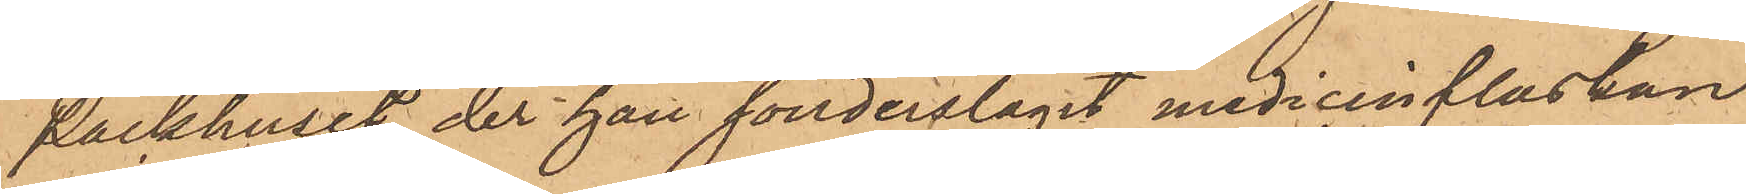Packhuset der han sönderslagit medicinflaskan
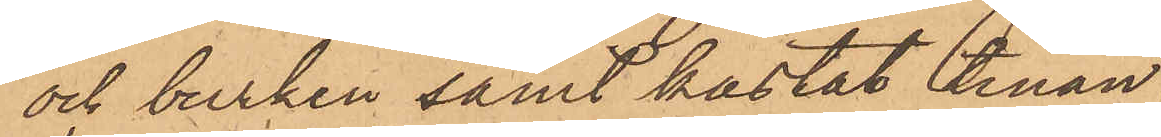och burken samt kastat tinan
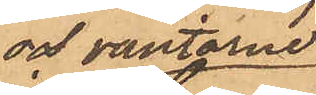och vantarne
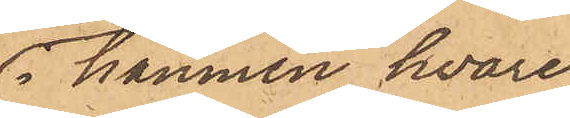i hammen hvare¬
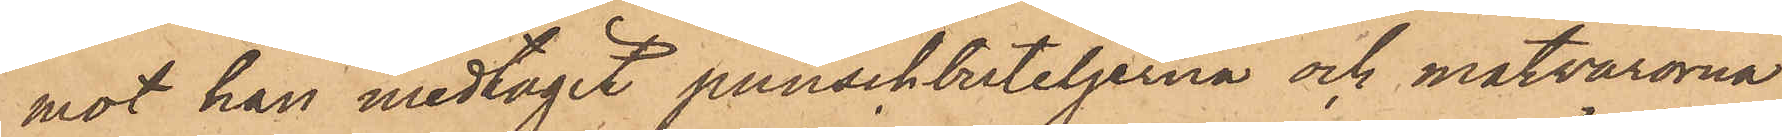mot han medtagit punschbuteljerna och matvarorna
